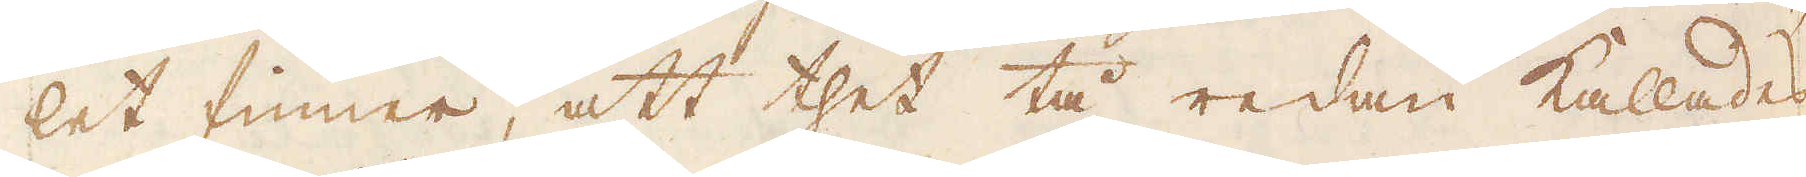let finner, att thet tå redan kallades
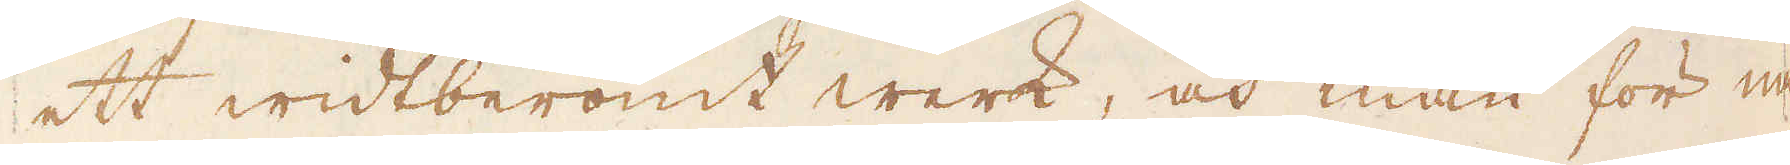ett widtberömt werk, och man för nå-
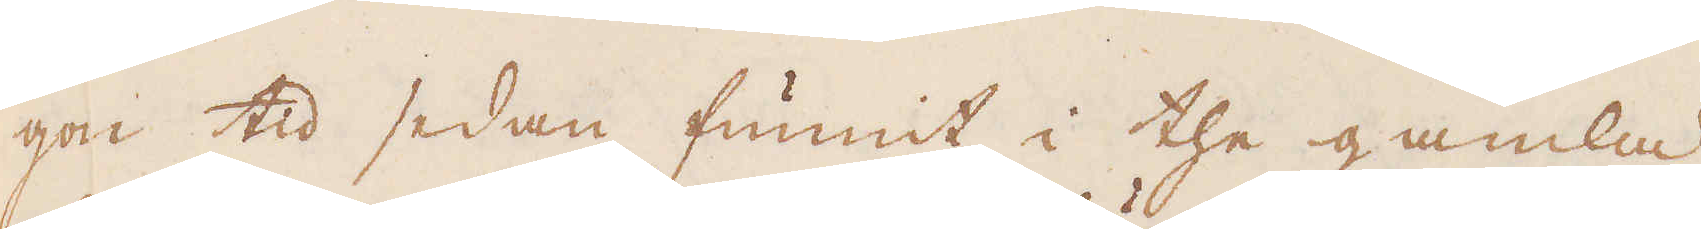gon tid sedan funnit i the gamla
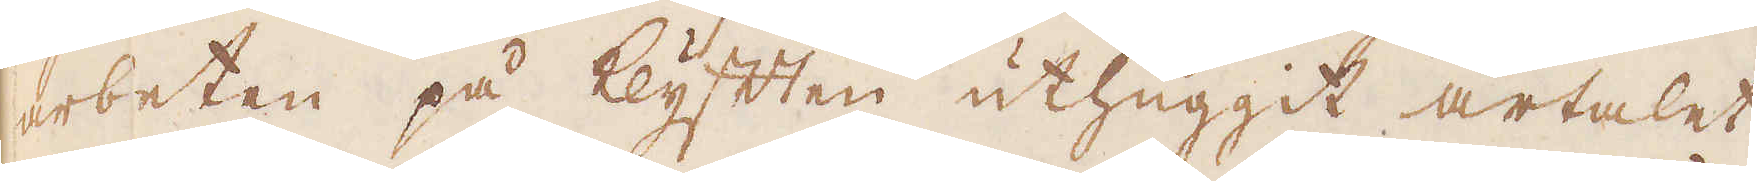arbeten på klyften uthuggit årtalet
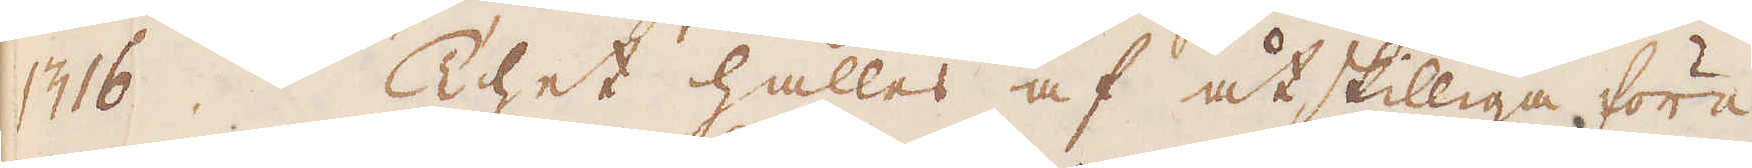1316. Thet hålles af åtskilliga före
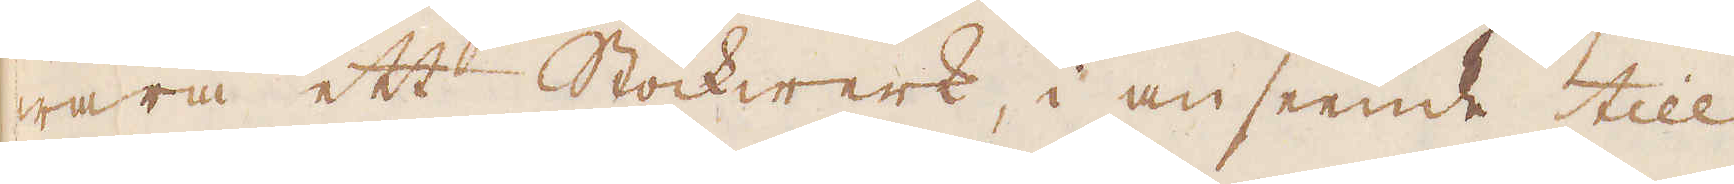wara ett Stockwerk, i anseende till
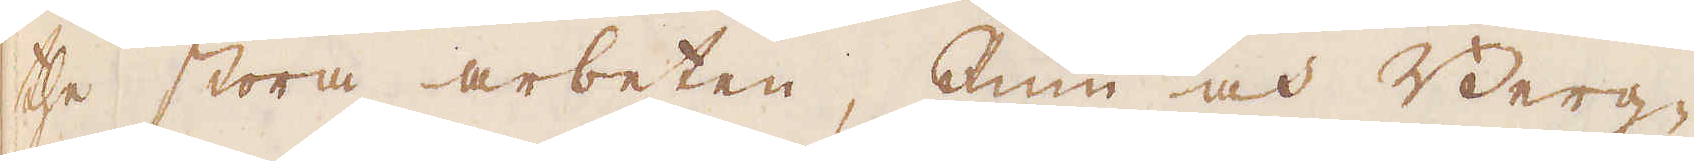the stora arbeten, Rum och Berg-
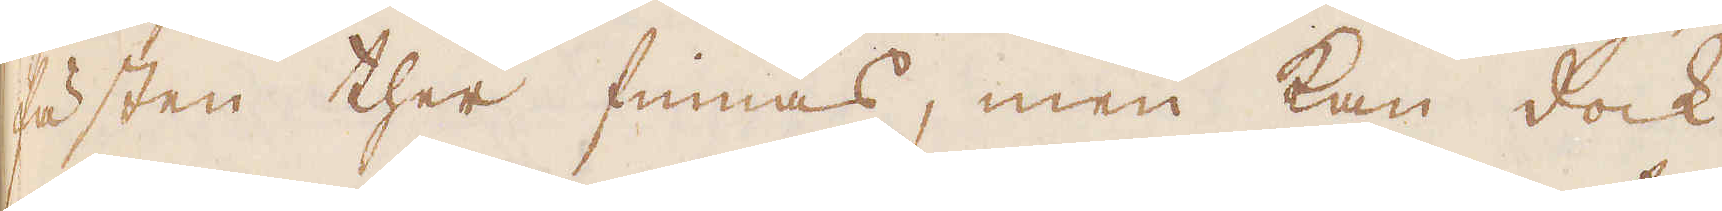fästen ther finnas, men kan dock
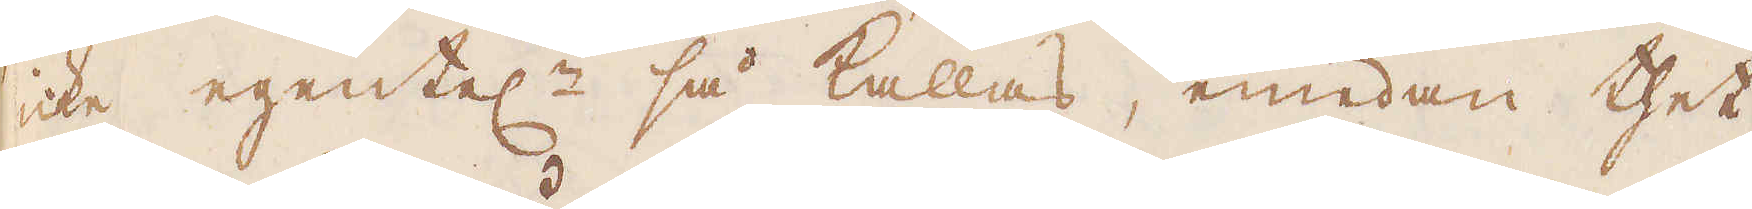icke egentel:n så kallas, emedan thet
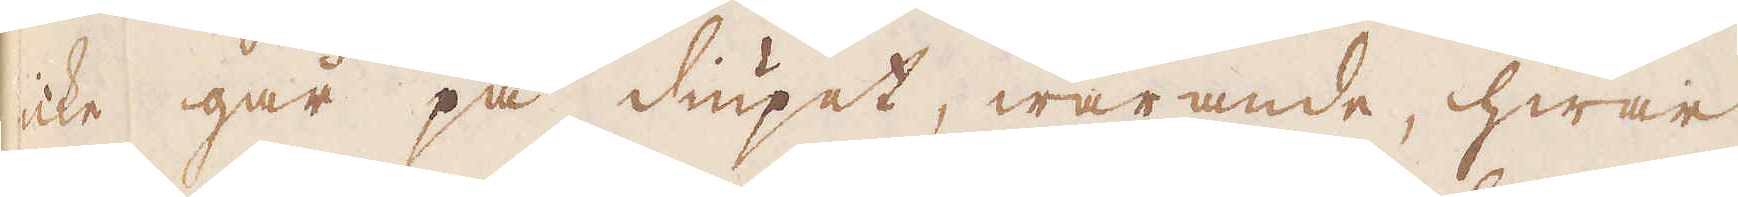icke går på diupet, warande, hwar
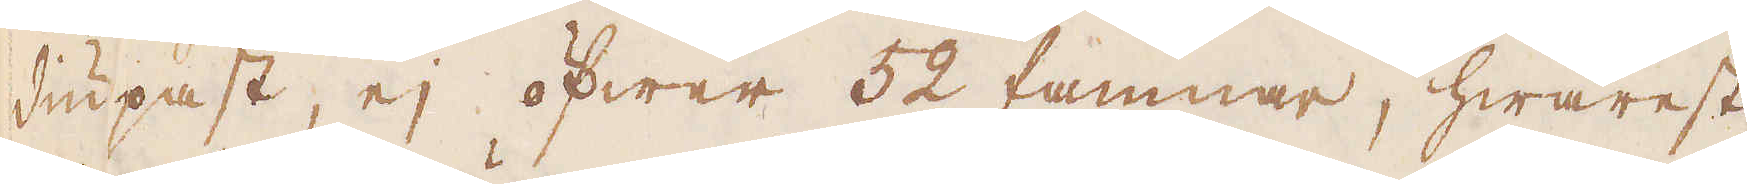diupast, ej öfwer 52 famnar, hwarest
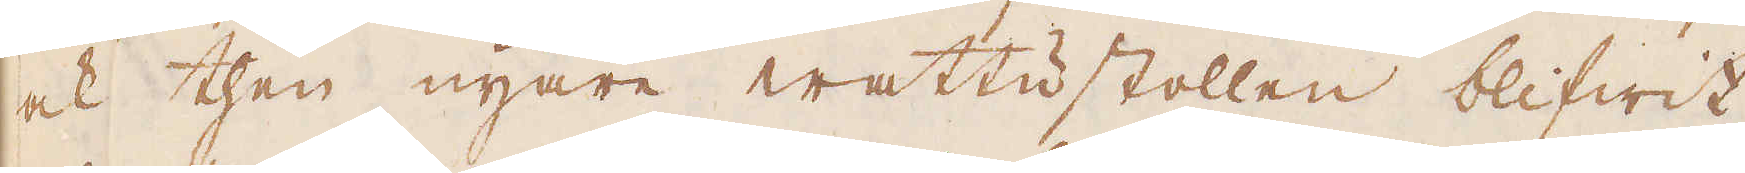ock then nyare wattustollen blifwit
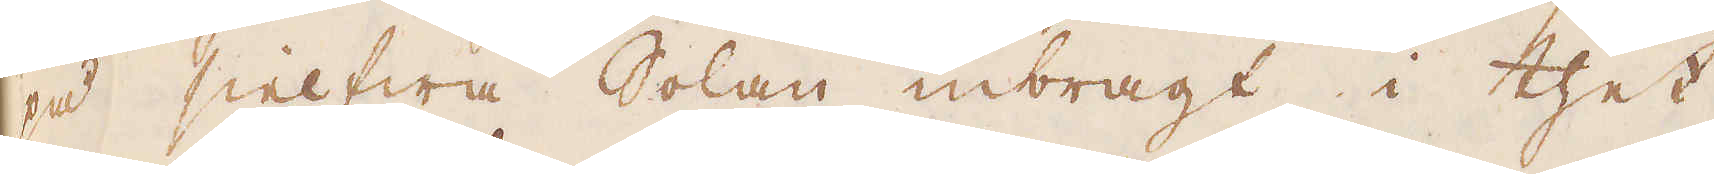på sielfwa Solan inbragt i thet
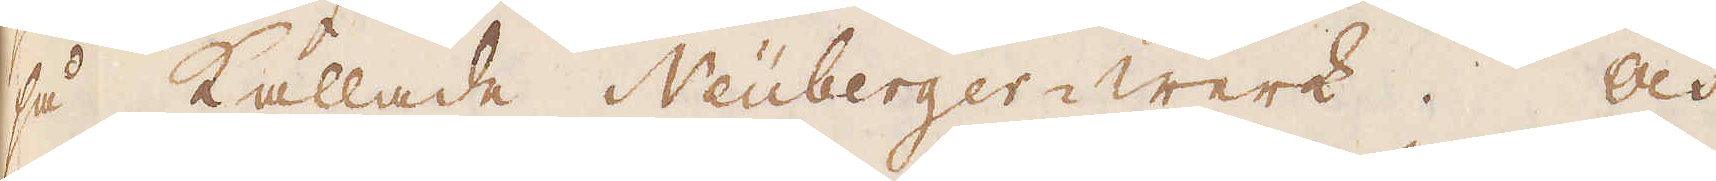så kallade Neuberger-werk. Och
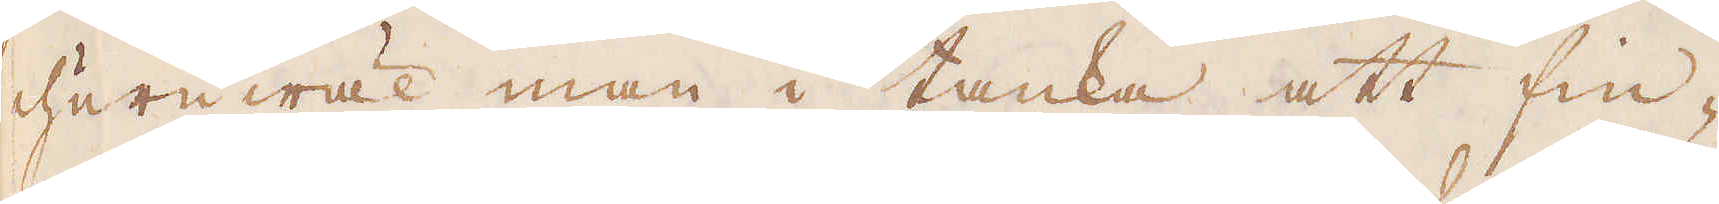huruwäl man i tanka att fin-
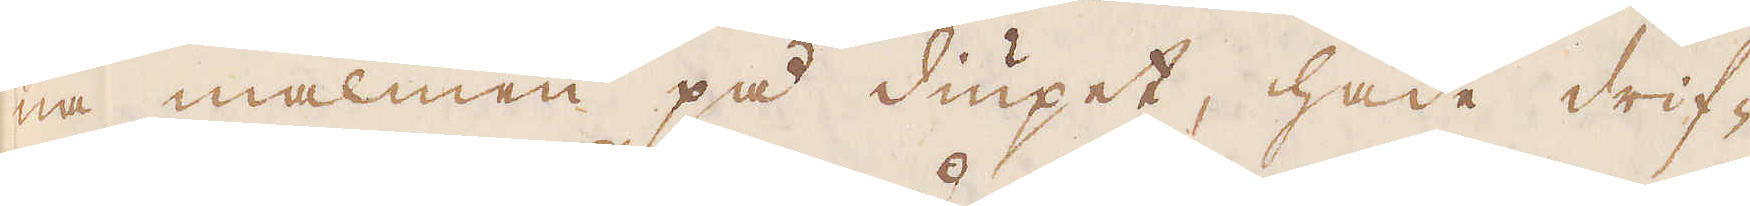na malmen på diupet, hade drif-
